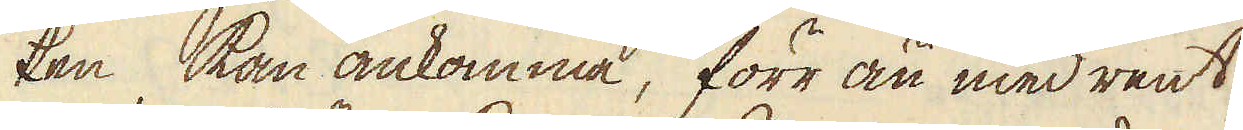ken kan ankomma, förr än med rent
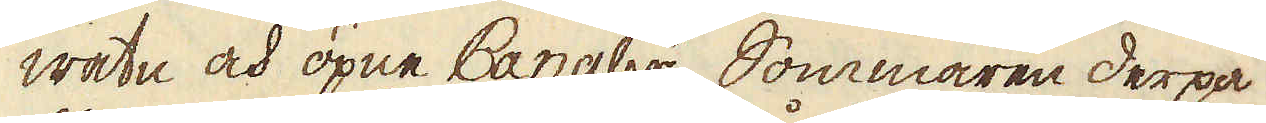watn och öpne Canaler, Sommaren derpå
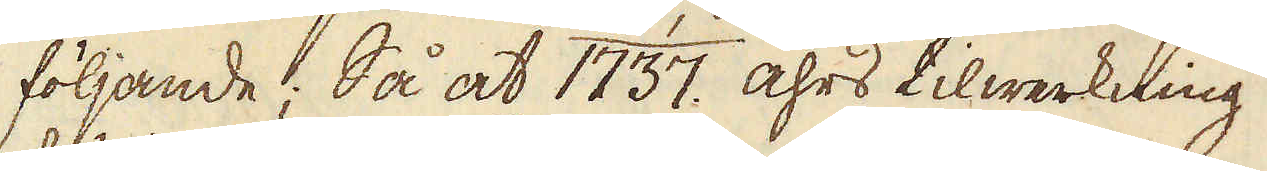följande; Så at 1737. åhrs tilwerkning
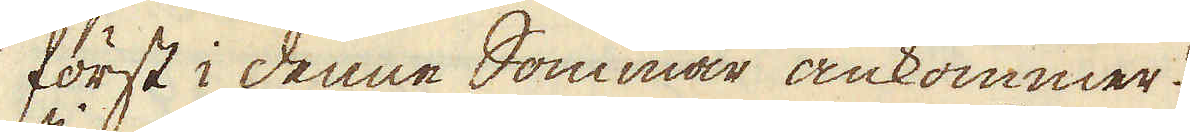först i denne Sommar ankommer.
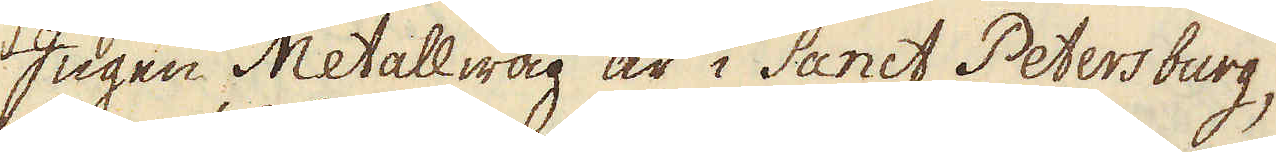Ingen Metallwåg är i Sanct Petersburg,
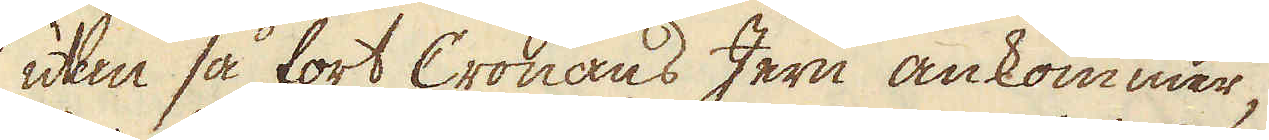uten så fort Cronans Jern ankommer,
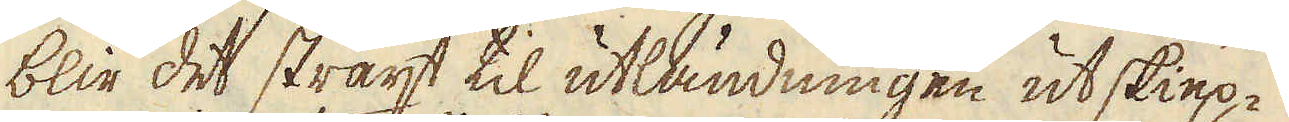blir det straxt til utländningen utskiep-
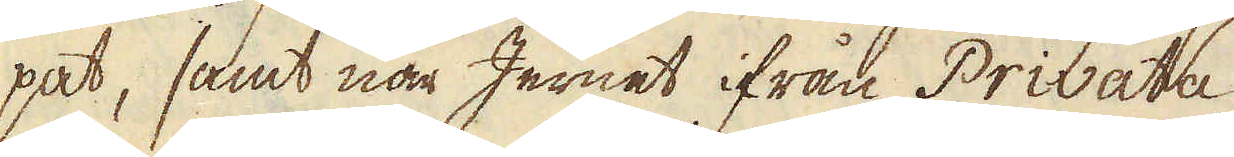pat, samt när Jernet ifrån Privata
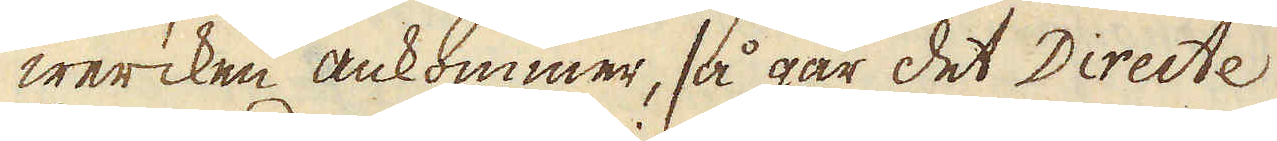wercken ankommer, så går det Directe
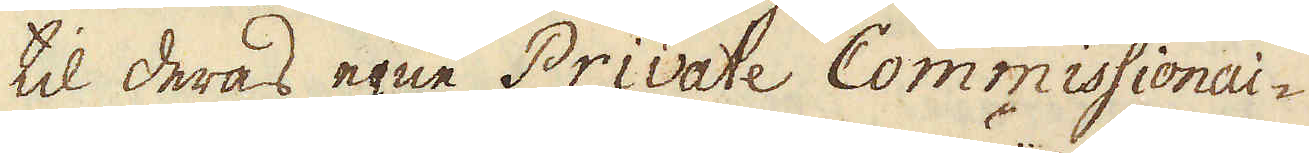til deras egne Private Commissionai-
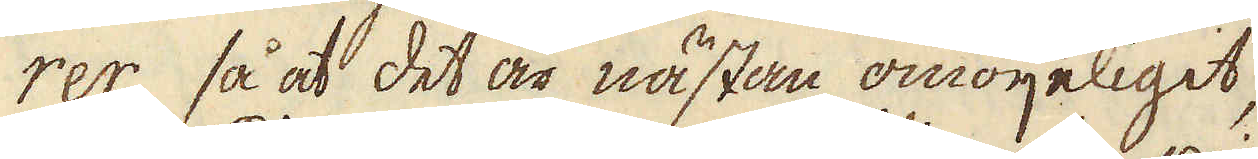rer, så at det är nästan omöijeligit,
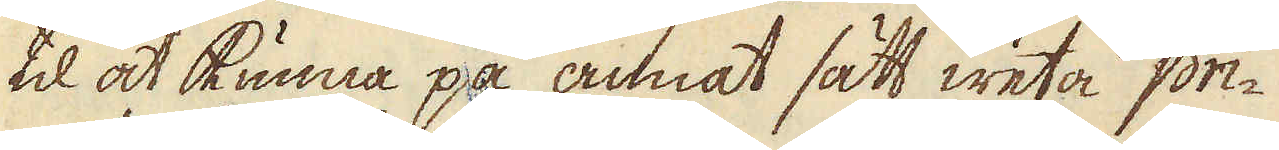til at kunna på annat sätt weta pri-
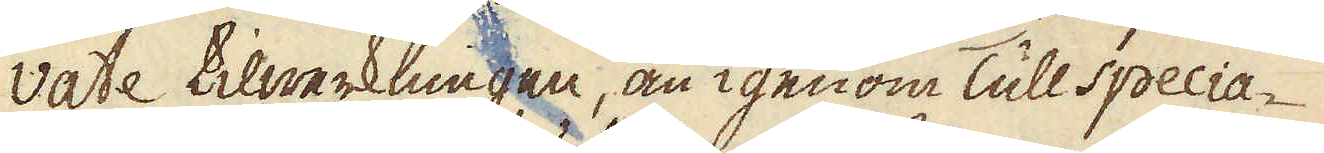vate tilwerkningen, än igenom Tull specia-
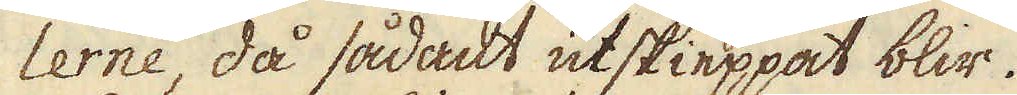lerne, då sådant utskieppat blir.
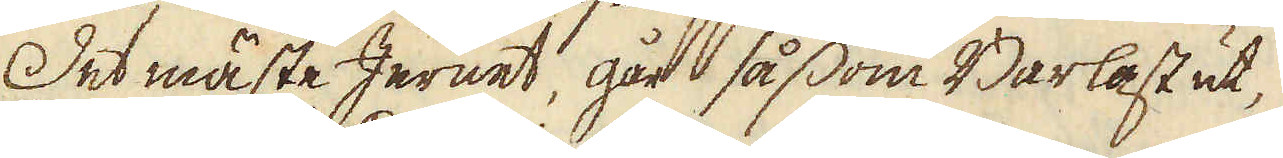Det mäste Jernet, går såsom Barlast ut,
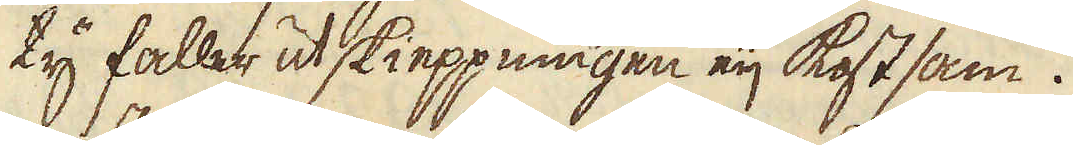ty faller utskieppningen eij kostsam.
